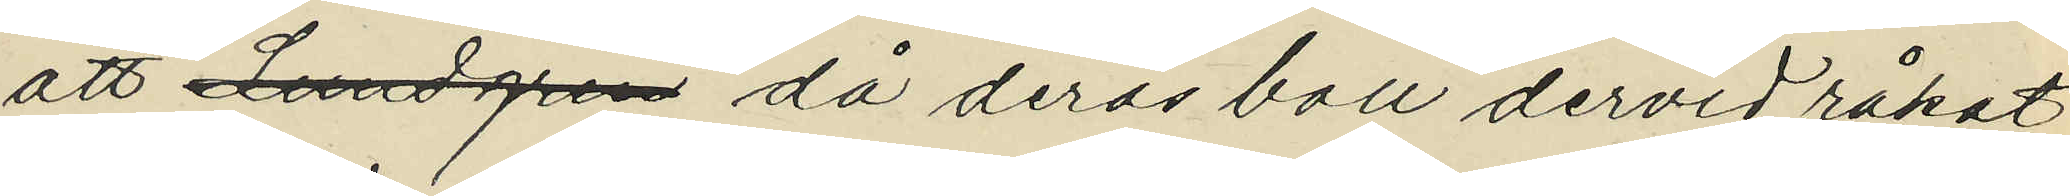att Lundgren då deras boll dervid råkat
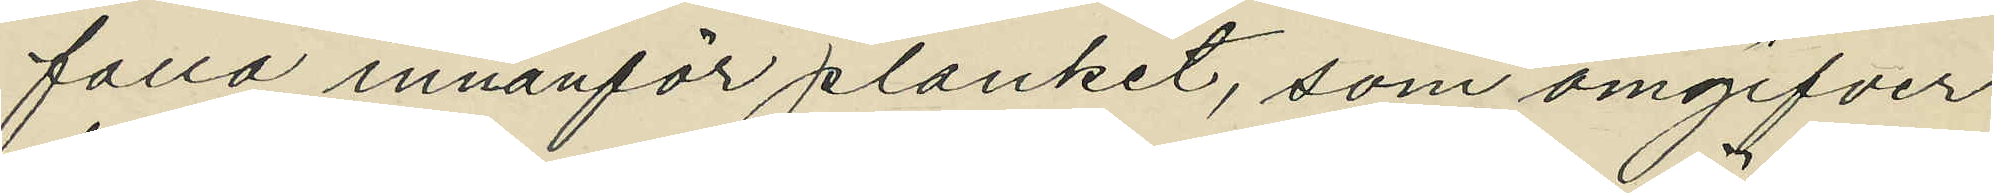falla innanför planket, som omgifver
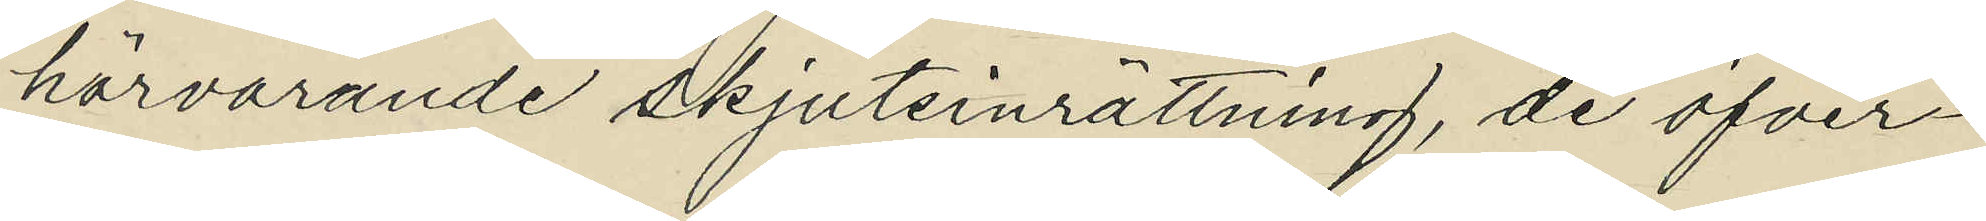härvarande skjutsinrättning, de öfver¬
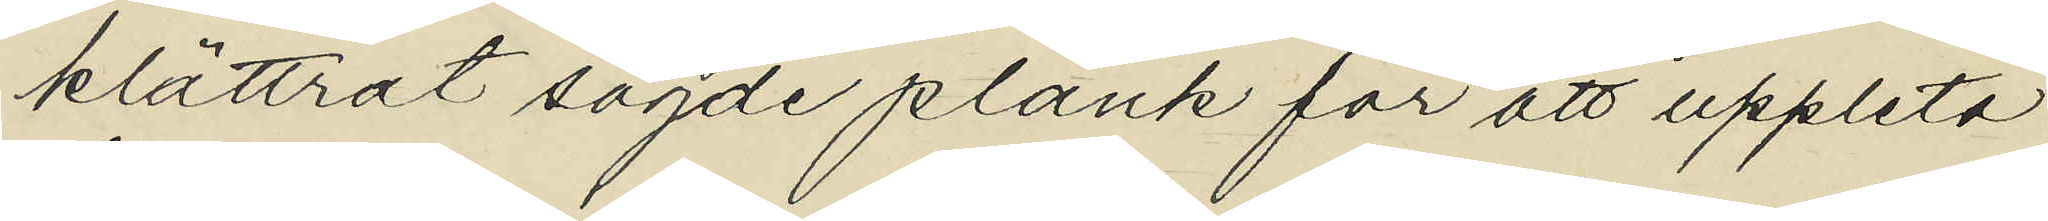klättrat sagde plank för att uppleta
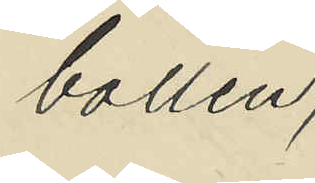bollen;
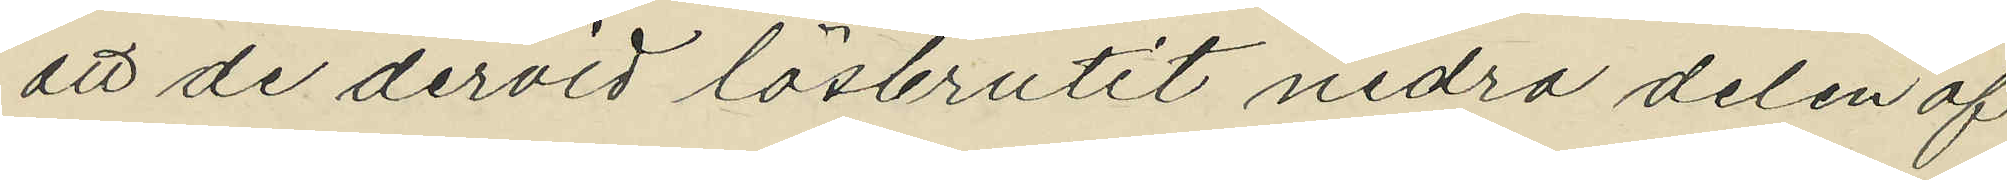att de dervid lösbrutit nedra delen af
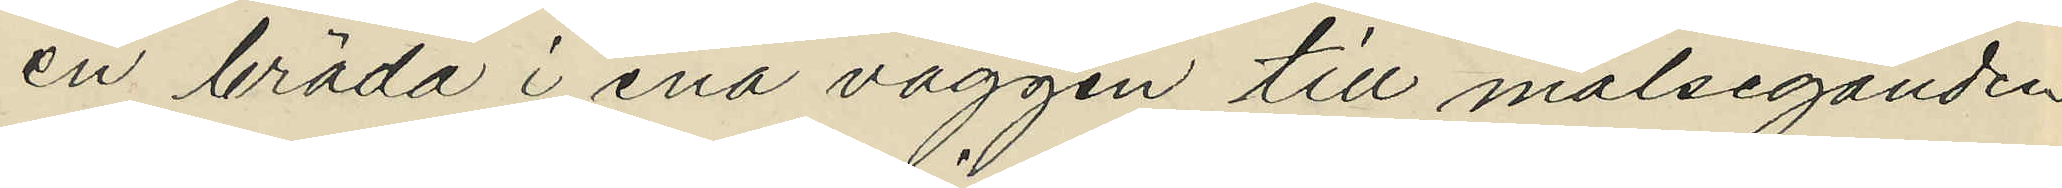en bräda i ena väggen till målseganden
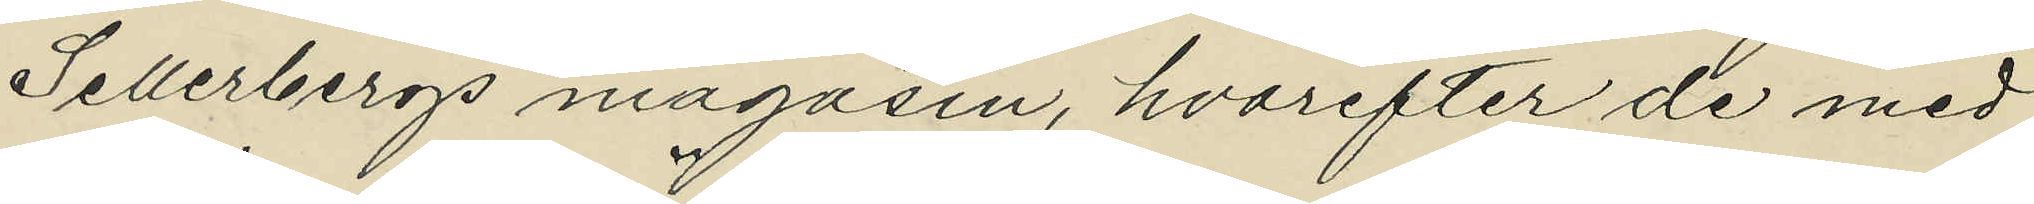Sellerbergs magasin, hvarefter de med
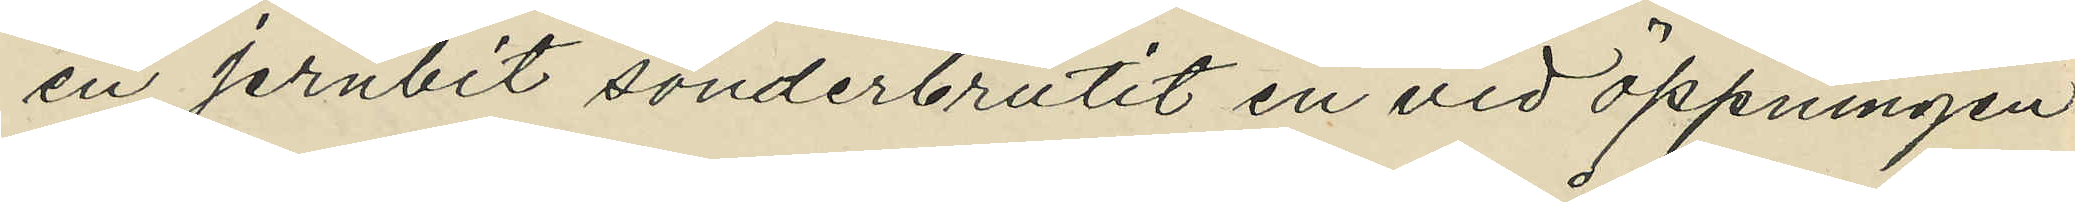en jernbit sönderbrutit en vid öppningen
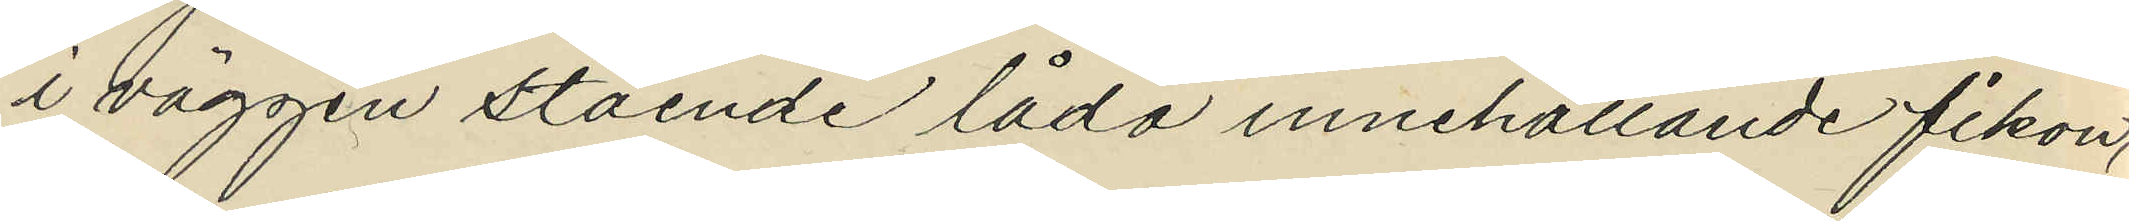i väggen stående låda innehållande fikon,
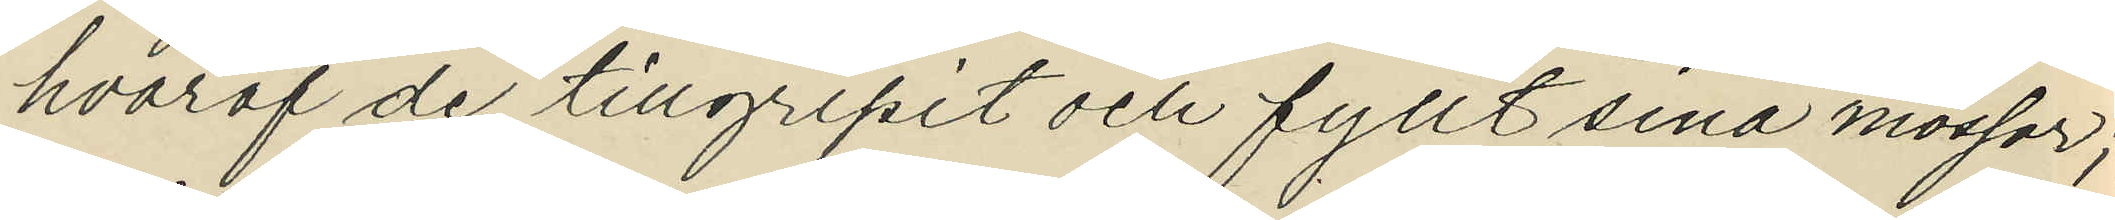hvaraf de tillgripit och fyllt sina mössor;
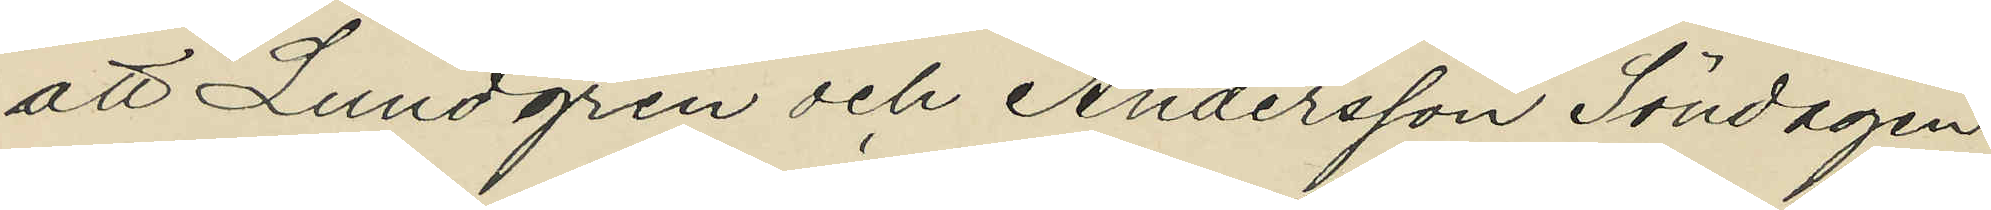att Lundgren och Andersson Söndagen
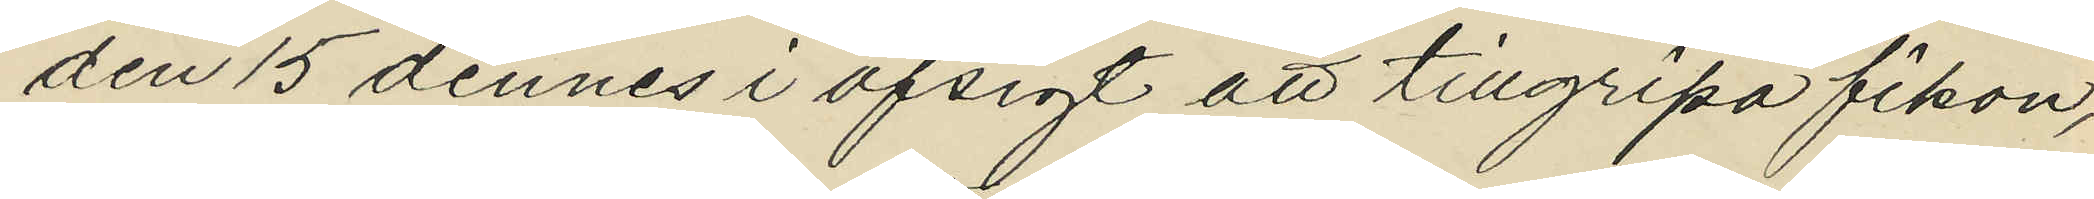den 15 dennes i afsigt att tillgripa fikon,
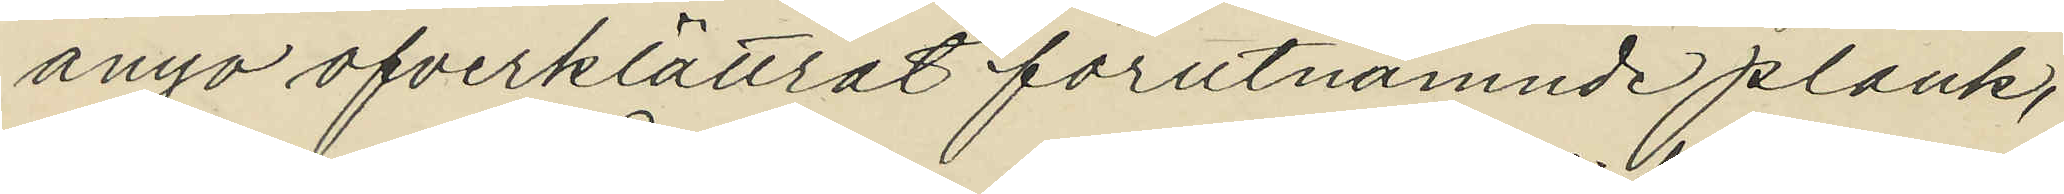ånyo ofverklättrat förutnämnde plank,
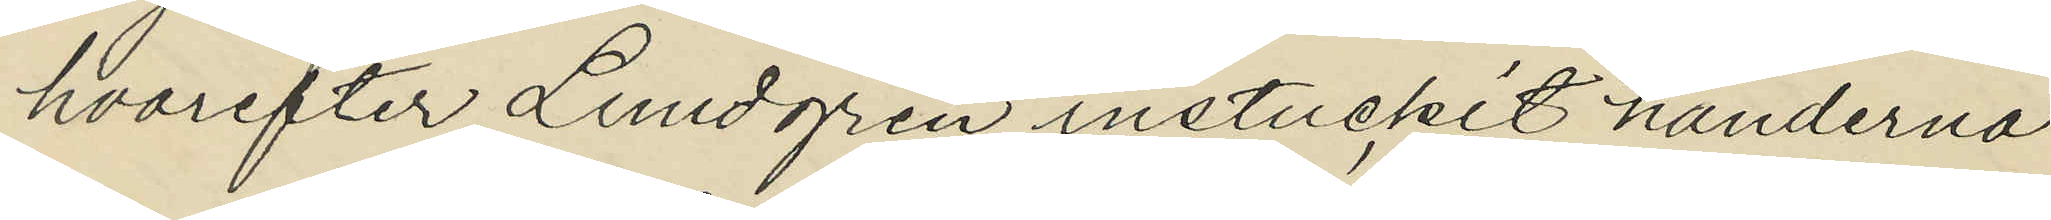hvarefter Lundgren instuckit händerna
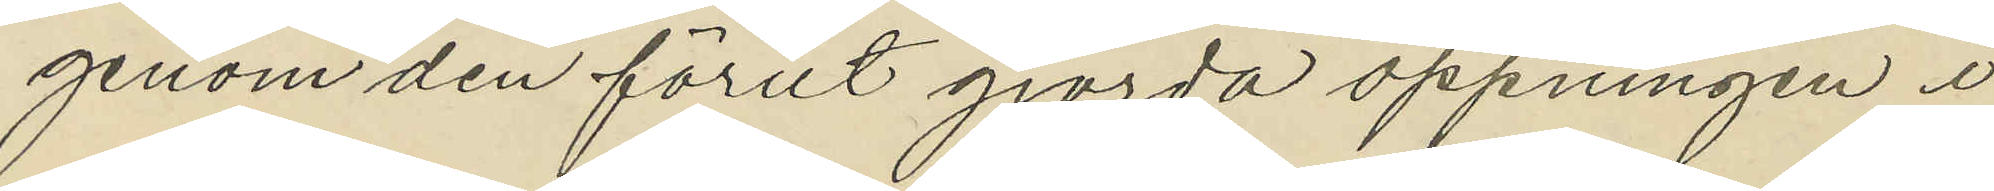genom den förut gjorda öppningen i
